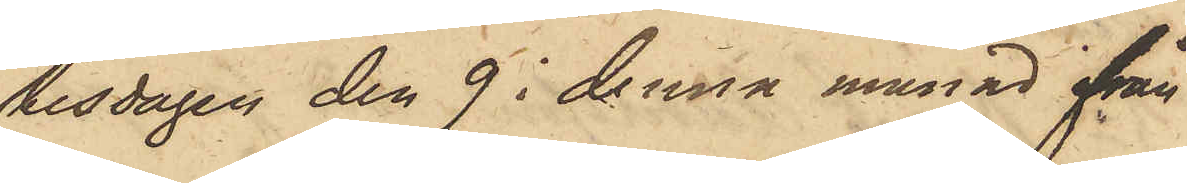tisdagen den 9 i denna månad från
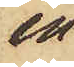en
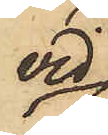vid
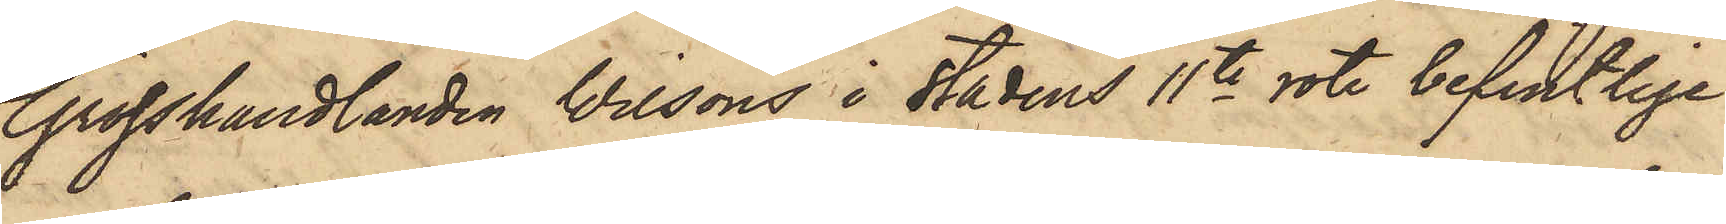Grosshandlanden Wilsons i stadens 11te rote befintlige
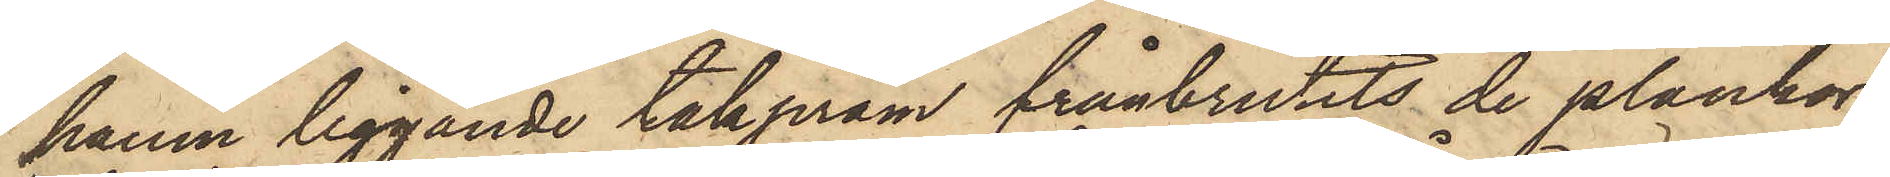hamn liggande takpråm frånbrutits de plankor,
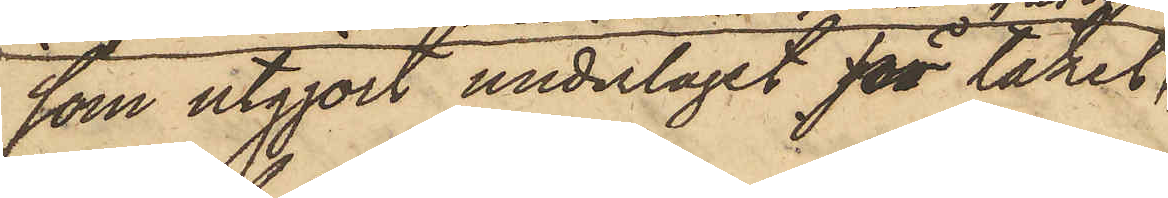som utgjort underlaget för taket,
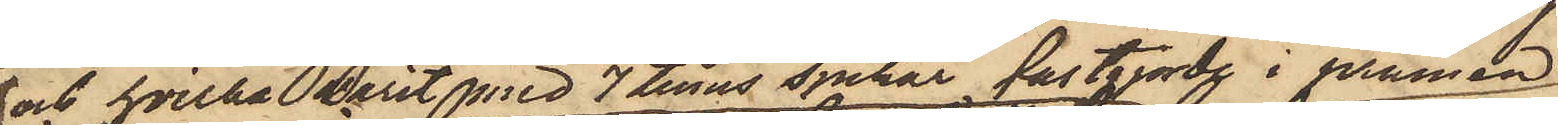och hvilka varit med 7 tums spikar fastgjorde i pråmen
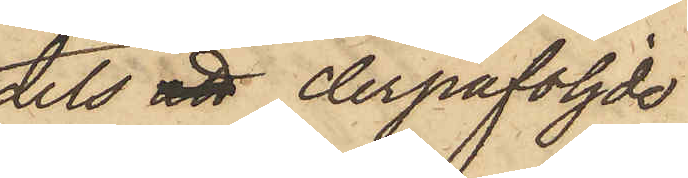dels att derpåföljde
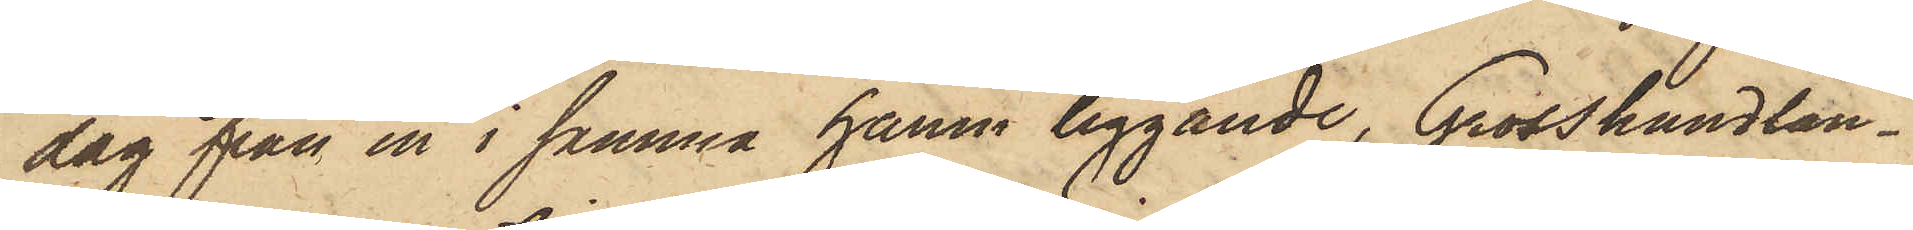dag från en i samma hamn liggande, Grosshandlan¬
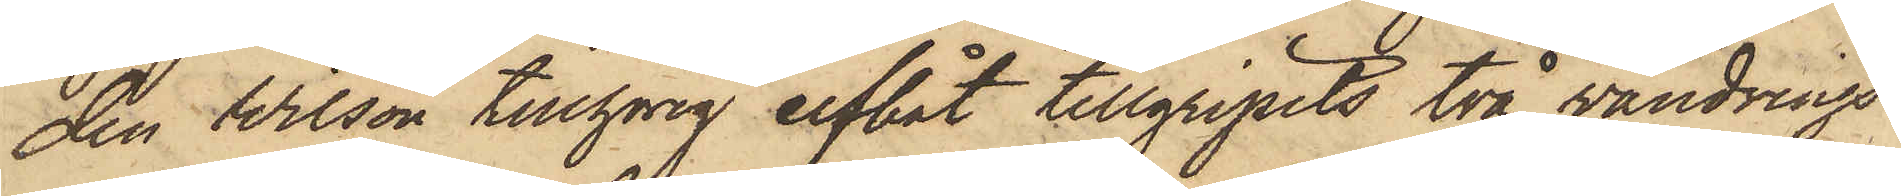den Wilson tillhörig elfbåt tillgripits två vandrings¬
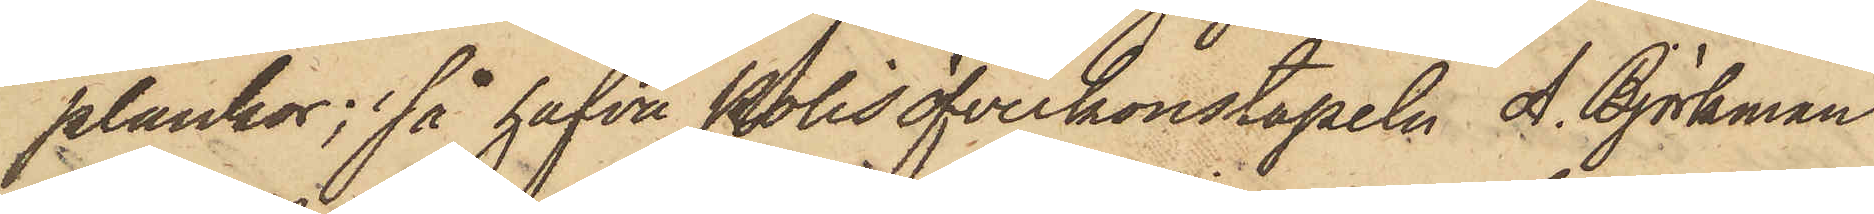plankor; så hafva Polisöfverkonstapeln A. Björkman
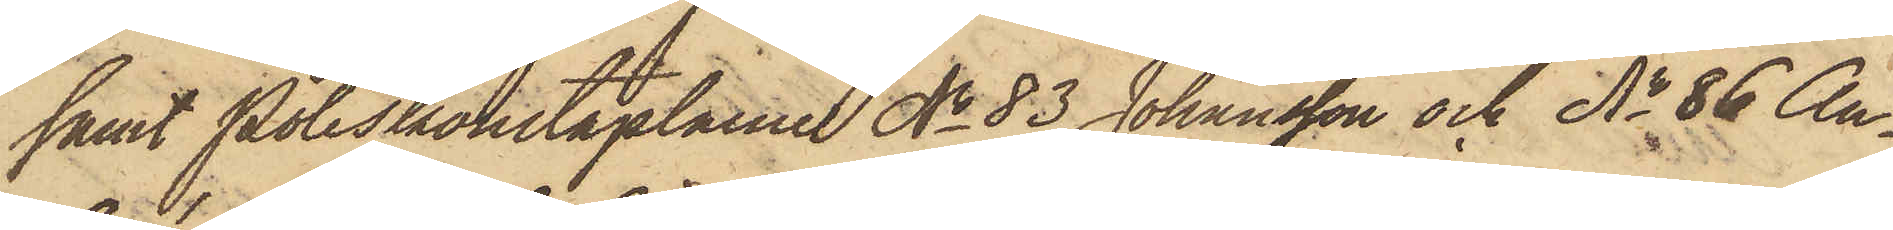samt Poliskonstaplarne No 83 Johansson och No 86 An¬
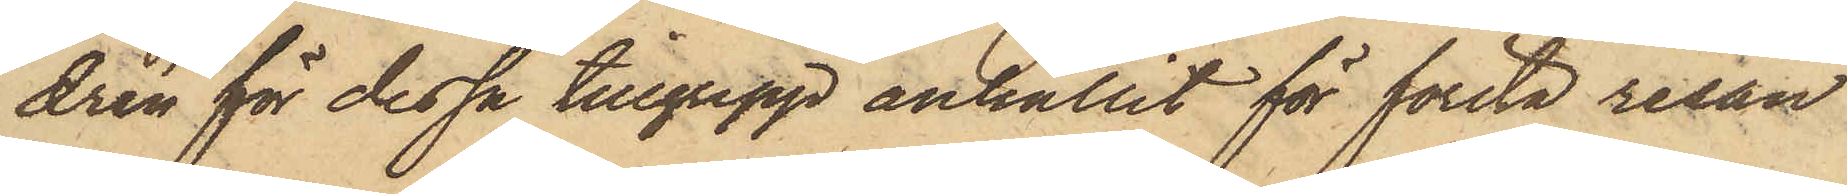drén för dessa tillgrepp anhållit för första resan
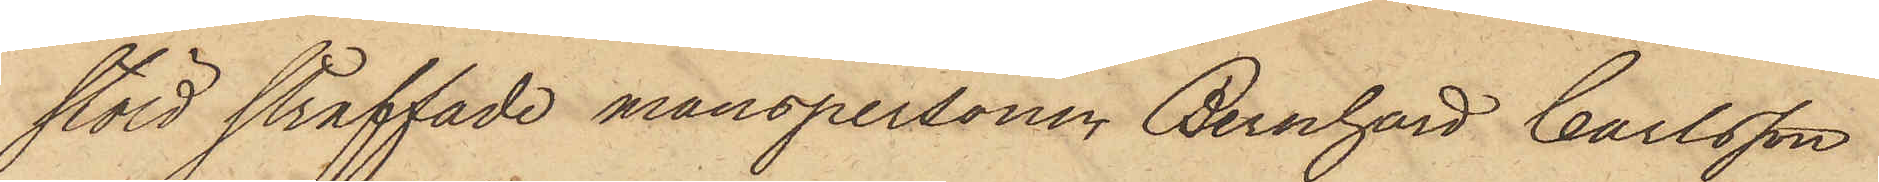stöld straffade manspersonen Bernhard Carlsson
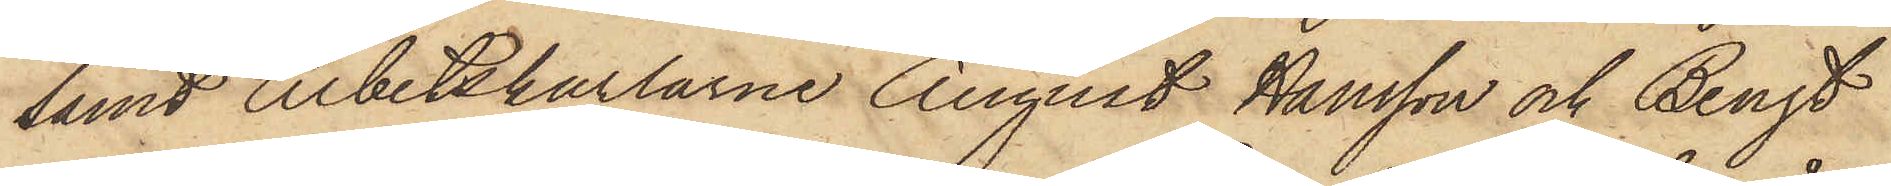samt Arbetskarlarne August Hansson och Bengt
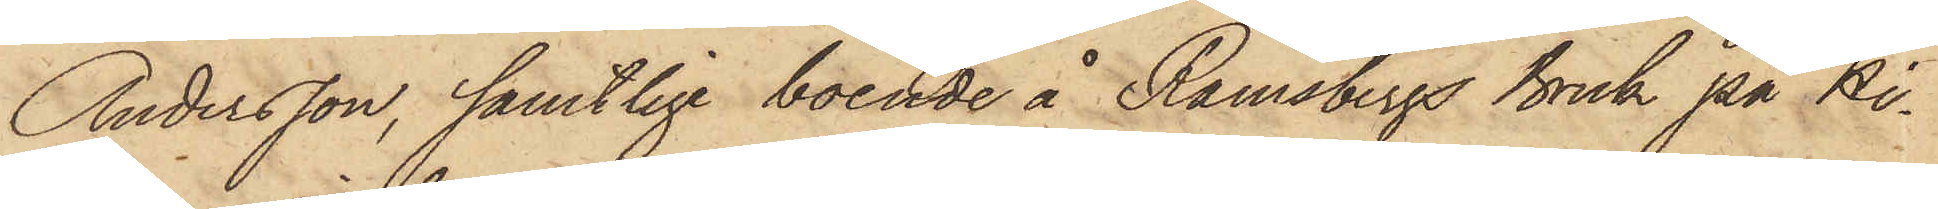Andersson, samtlige boende å Ramsbergs Bruk på Hi¬
